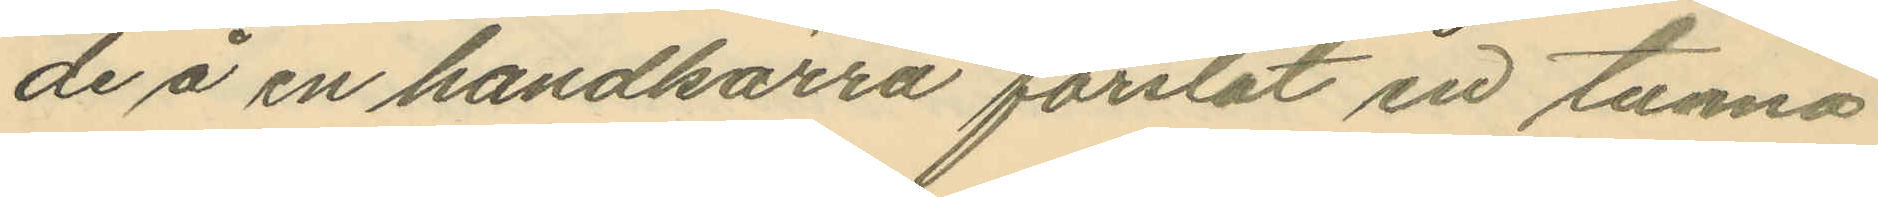de å en handkärra forslat en tunna
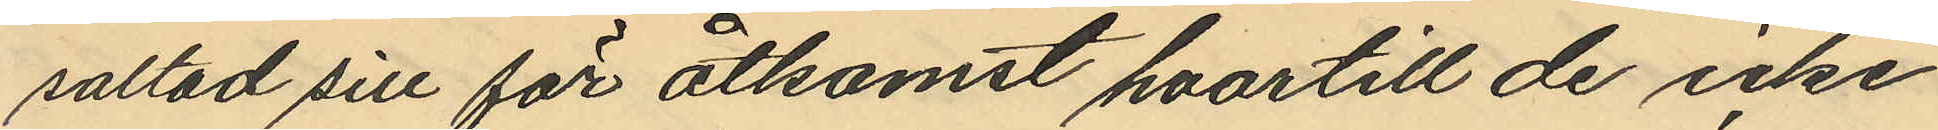saltad sill för åtkomst hvartill de icke
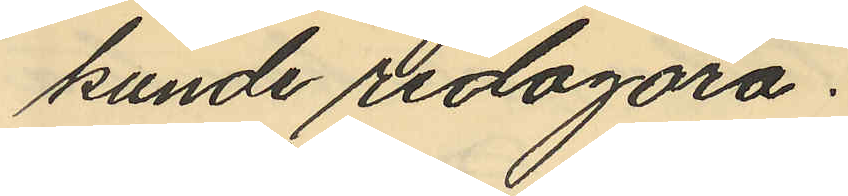kunde redogöra.
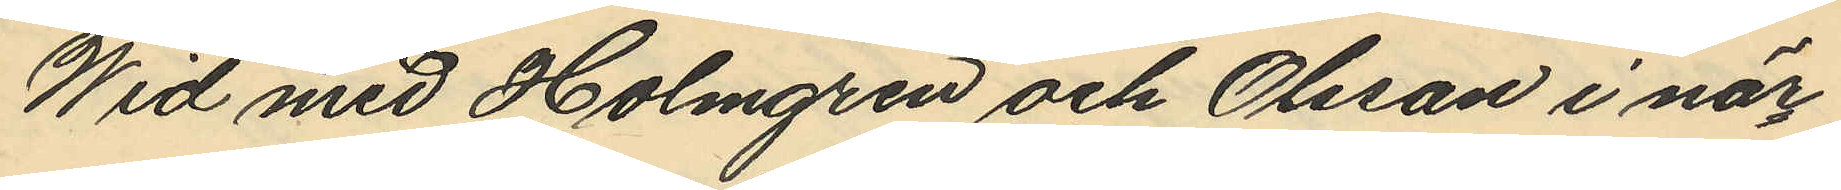Wid med Holmgren och Olsson i när¬
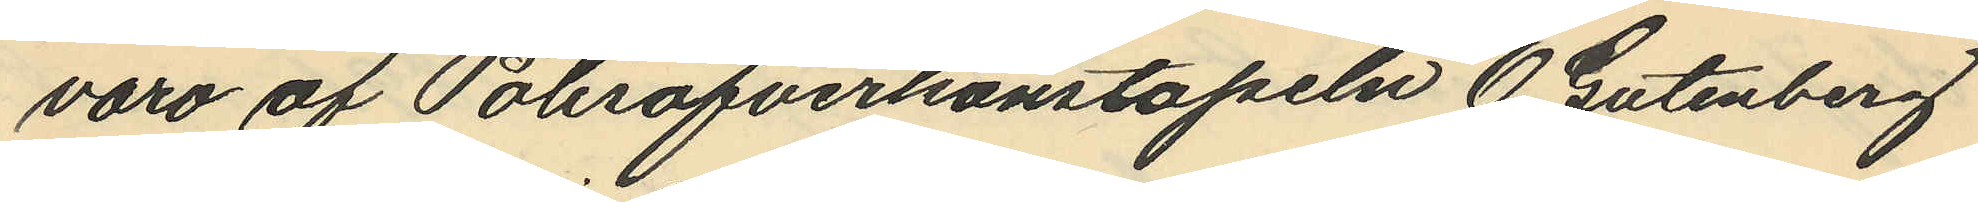varo af Polisöfverkonstapeln O. Gutenberg
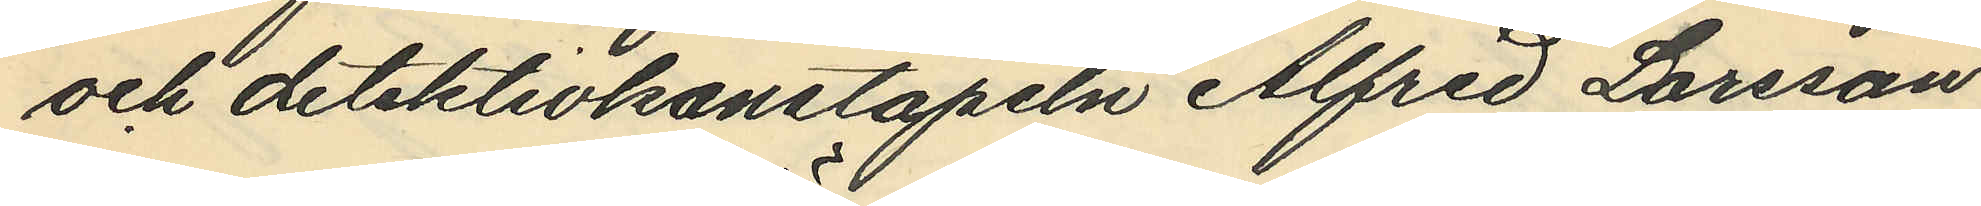och detektivkonstapeln Alfred Larsson
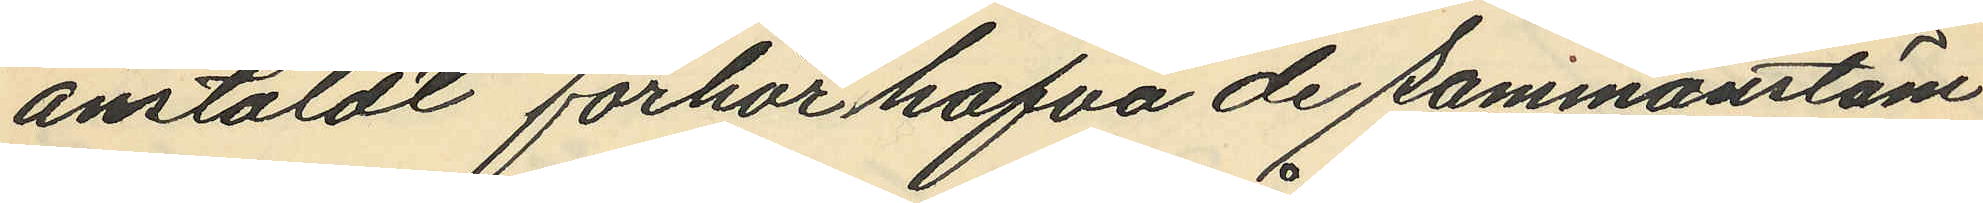anstäldt förhör hafva de sammanstäm
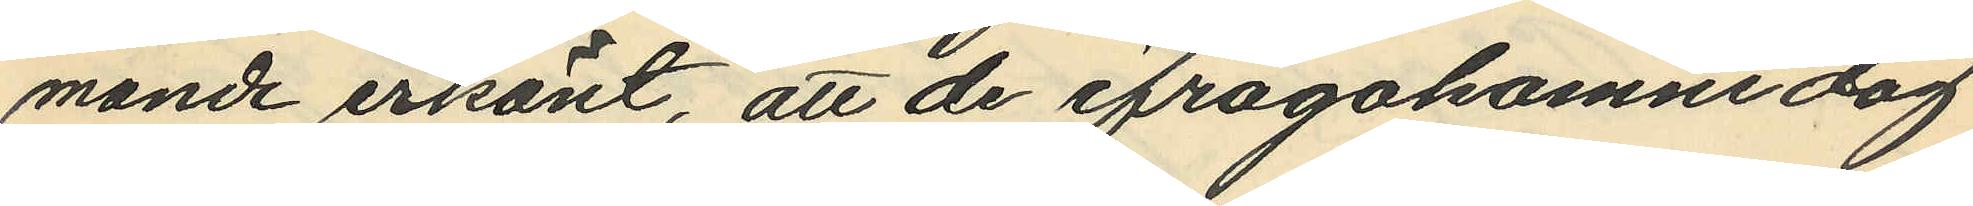mande erkänt, att de ifrågakomne dag
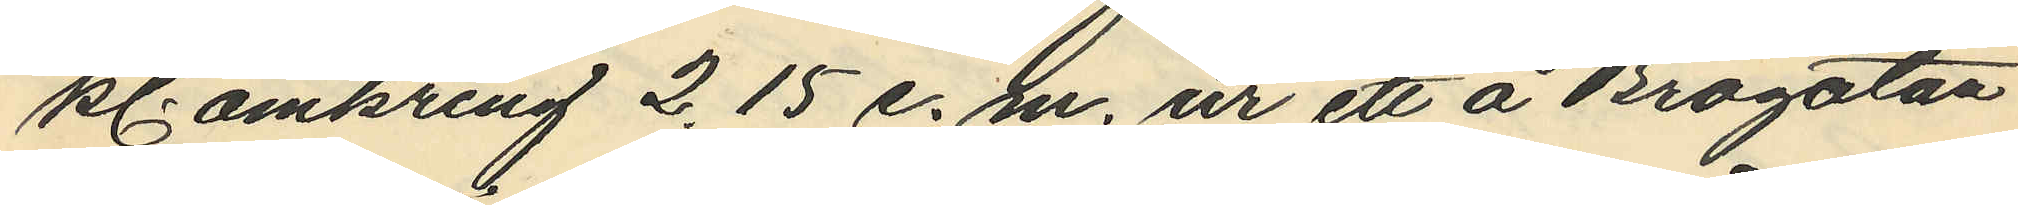kl. omkring 2,15 e. m. ur ett å Brogatan
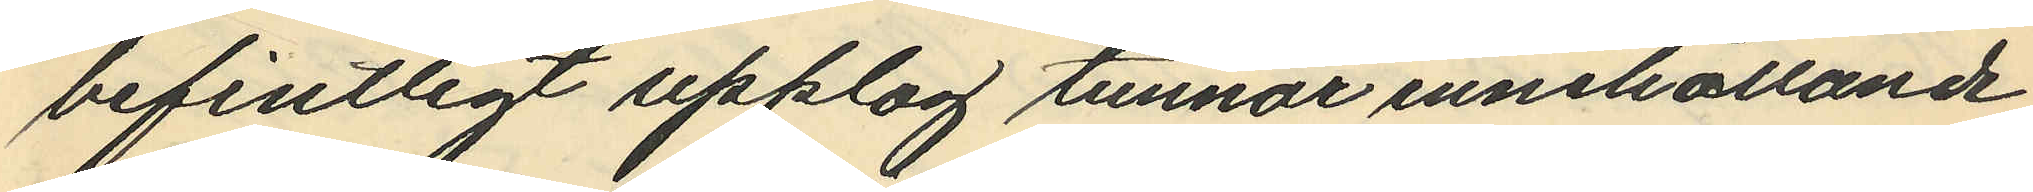befintligt upplag tunnor innehållande
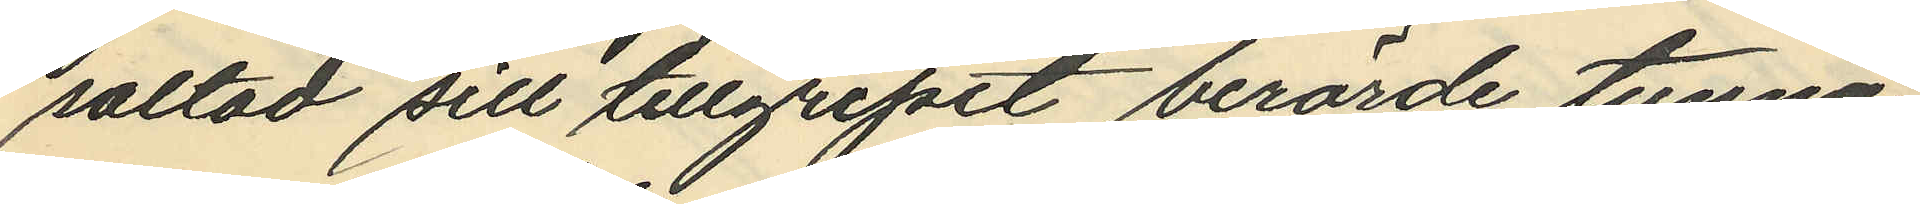saltad sill tillgripit berörde tunna,
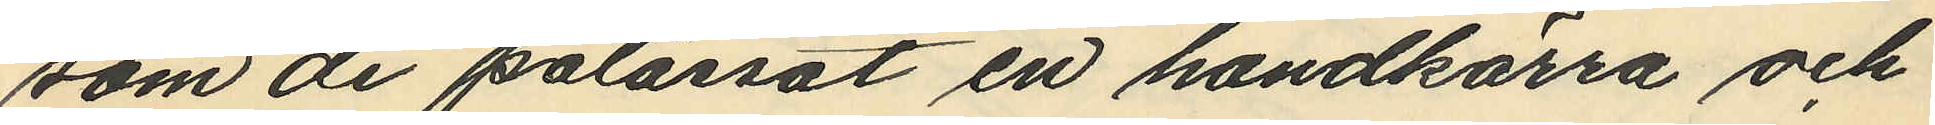som de pålassat en handkärra och
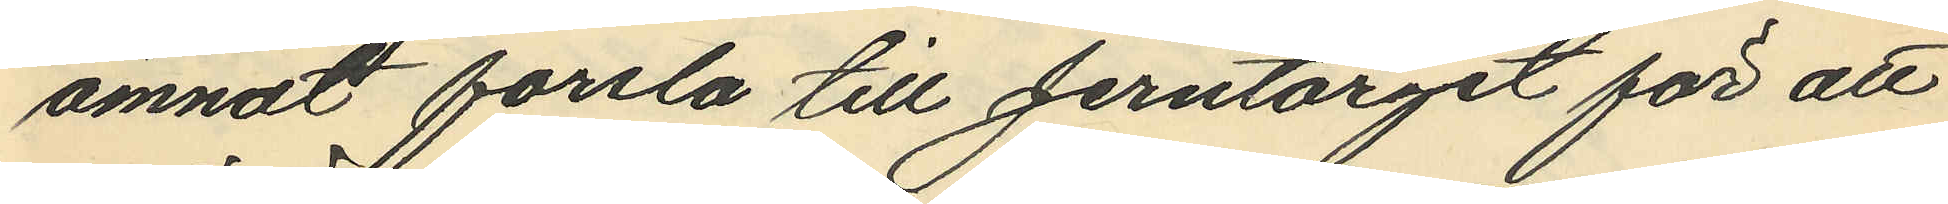ämnat forsla till Jerntorget för att
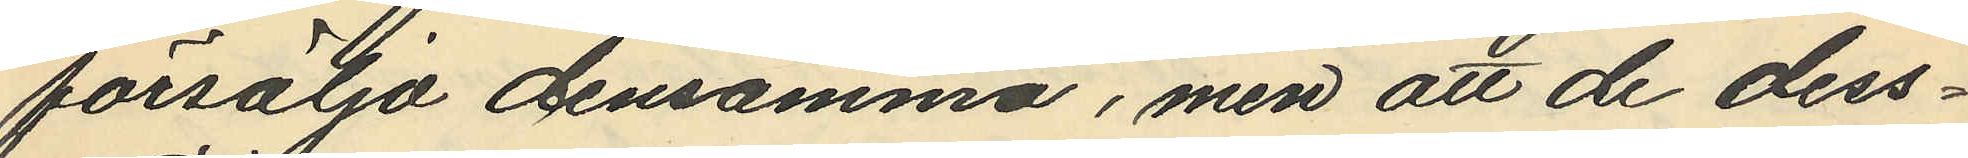försälja densamma, men att de dess¬
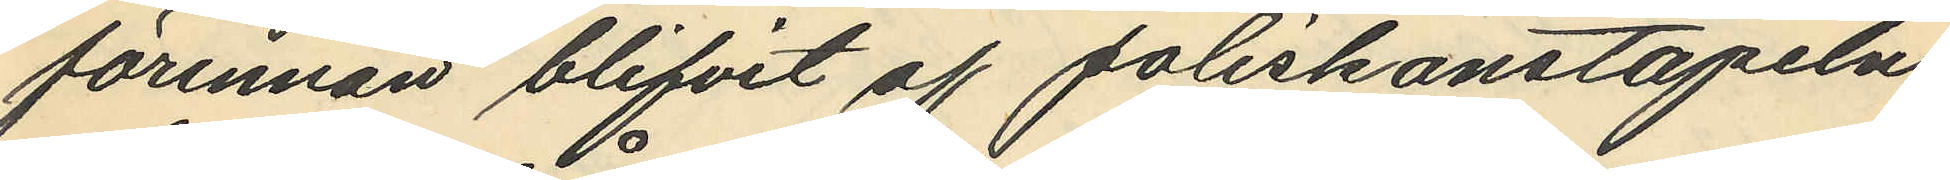förinnan blifvit af Poliskonstapeln
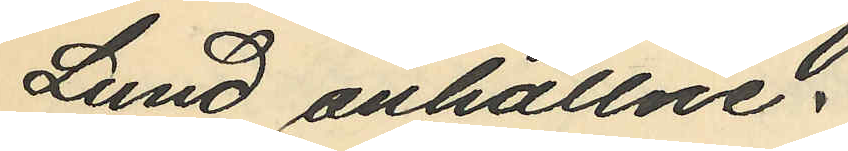Lund anhållne.
